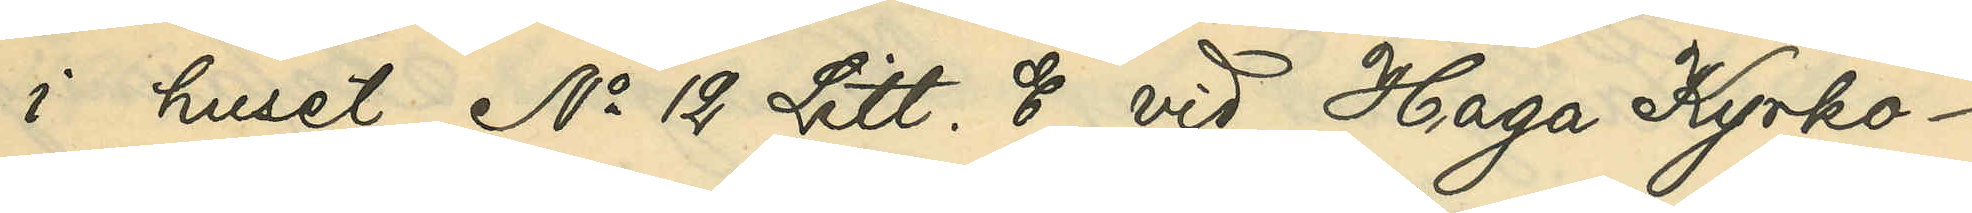i huset No 12 Litt. E vid Haga Kyrko¬
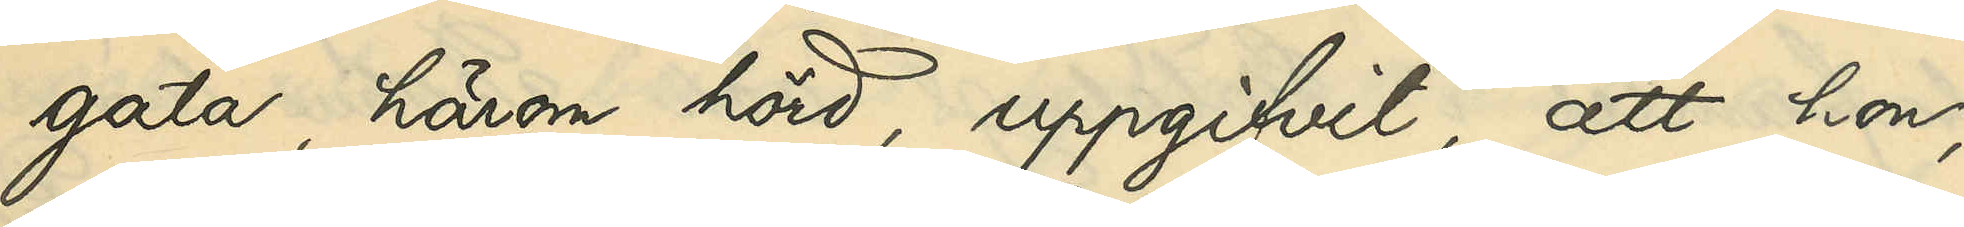gata, härom hörd, uppgifvit, att hon,
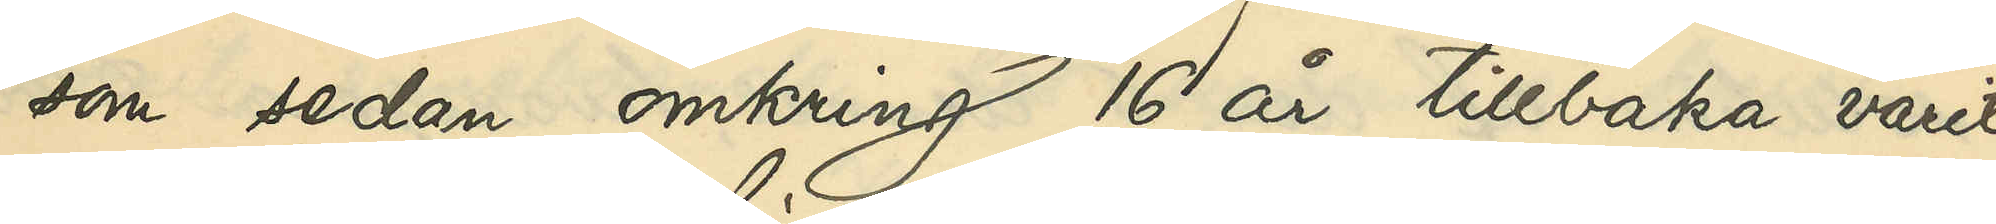som sedan omkring 16 år tillbaka varit
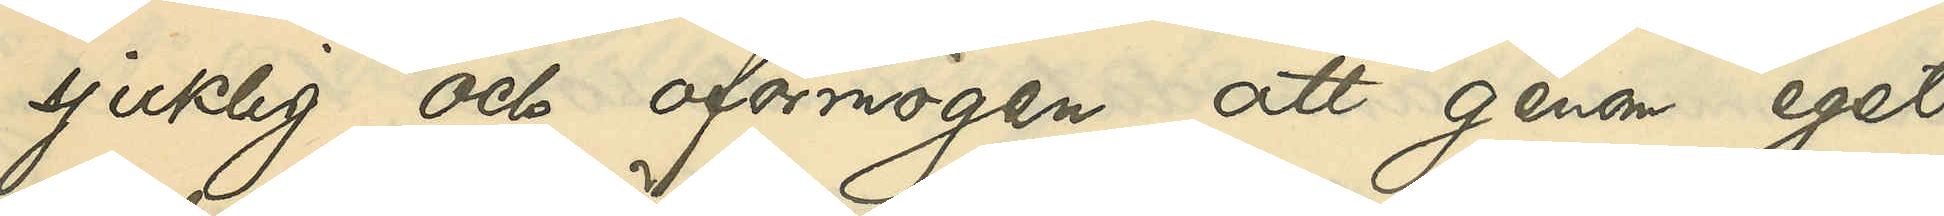sjuklig och oförmögen att genom eget
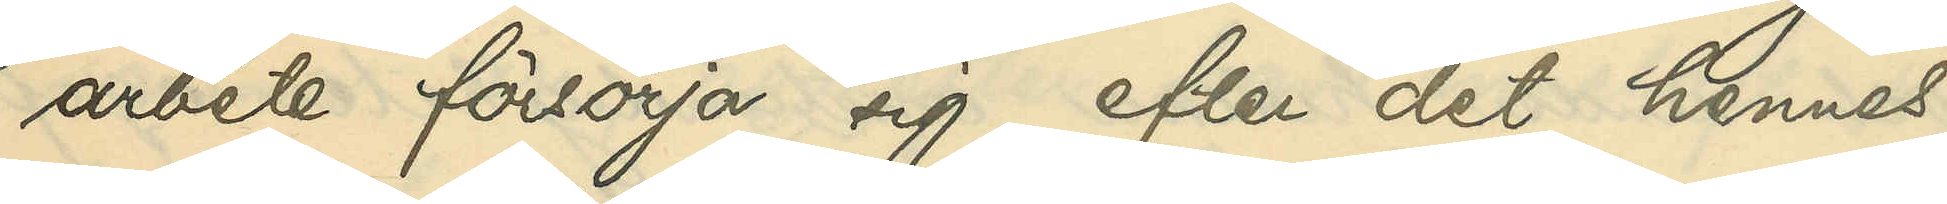arbete försörja sig, efter det hennes
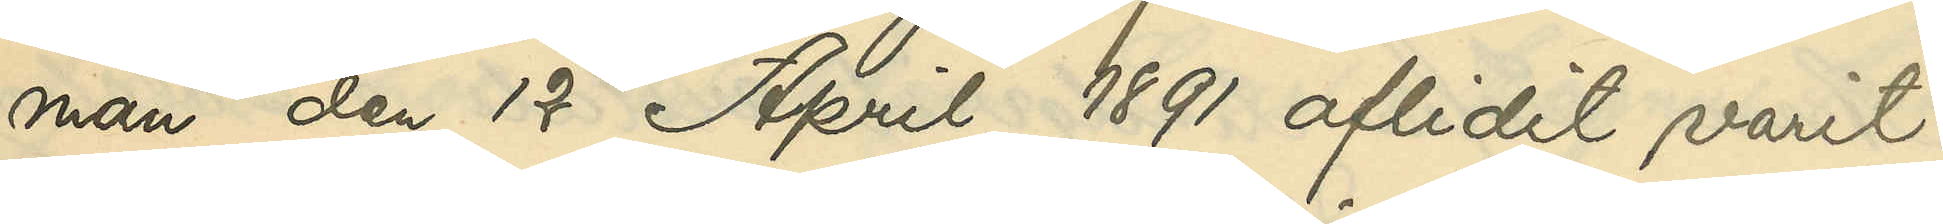man den 17 April 1891 aflidit varit
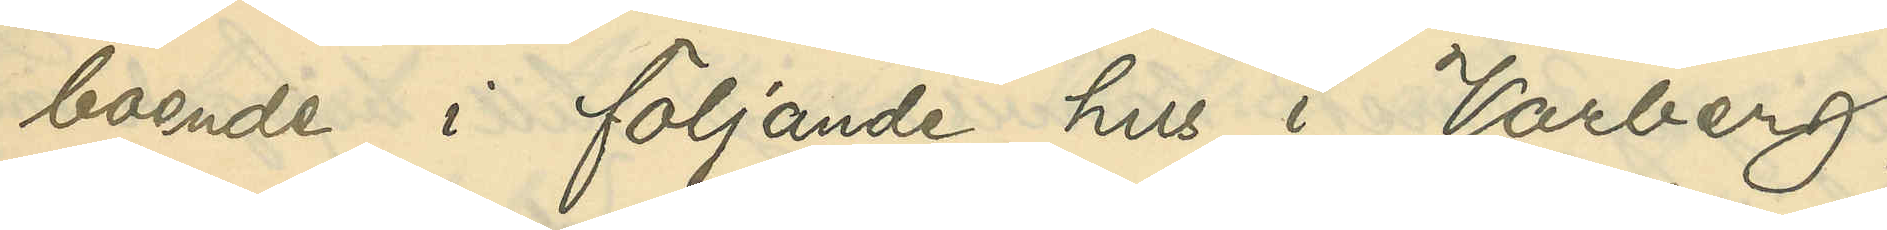boende i följande hus i Varberg,
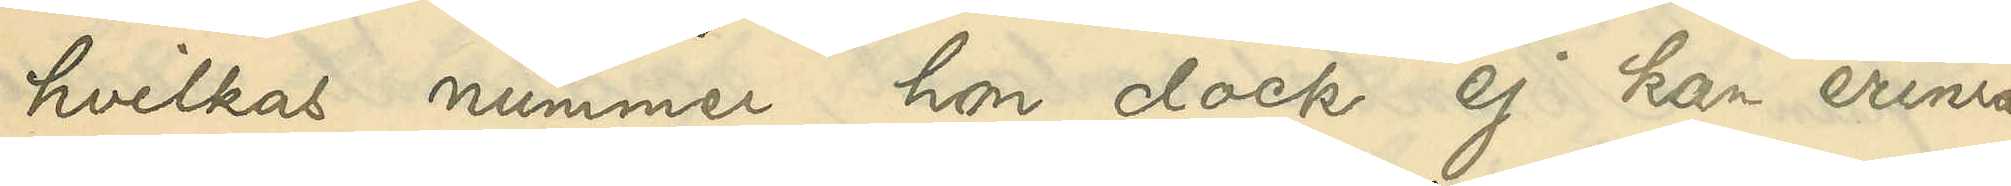hvilkas nummer hon dock ej kan erinra
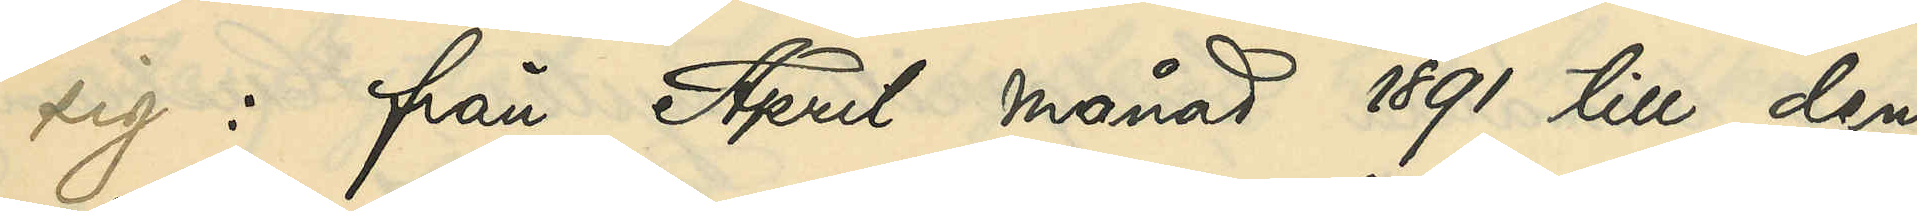sig: från April månad 1891 till den
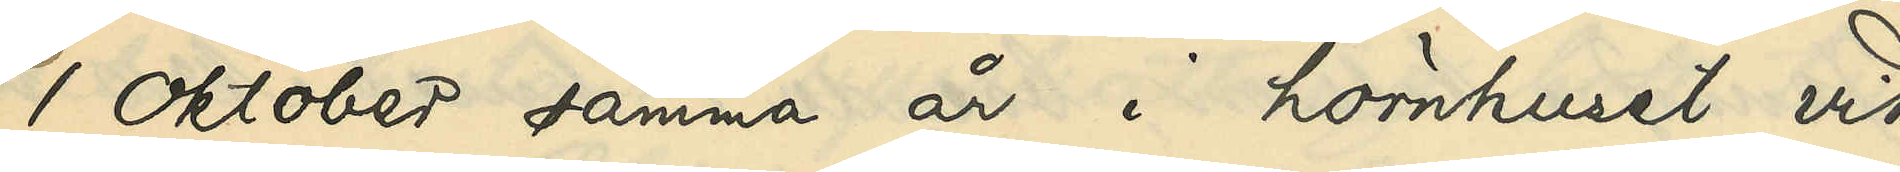1 Oktober samma år i hörnhuset vid
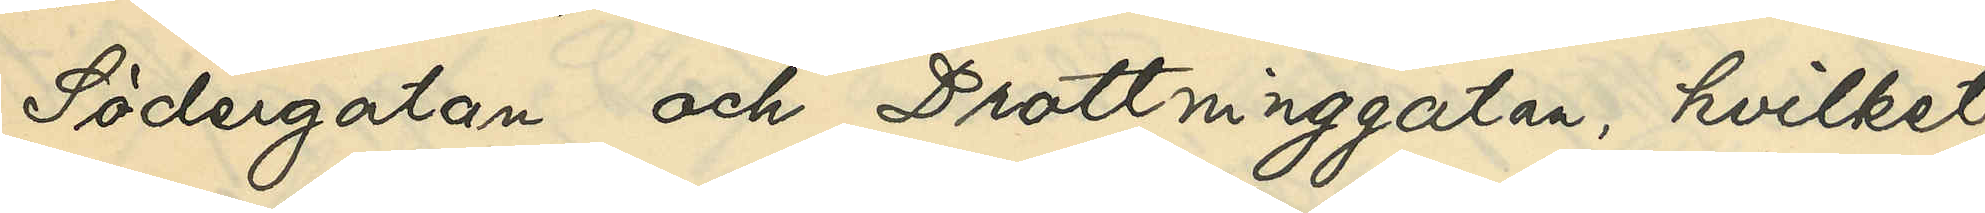Södergatan och Drottninggatan, hvilket
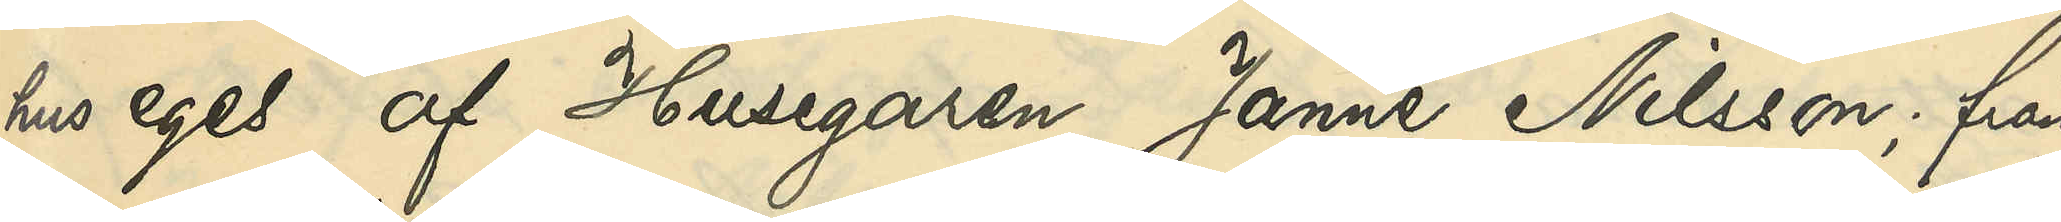hus eges af Husegaren Janne Nilsson; från
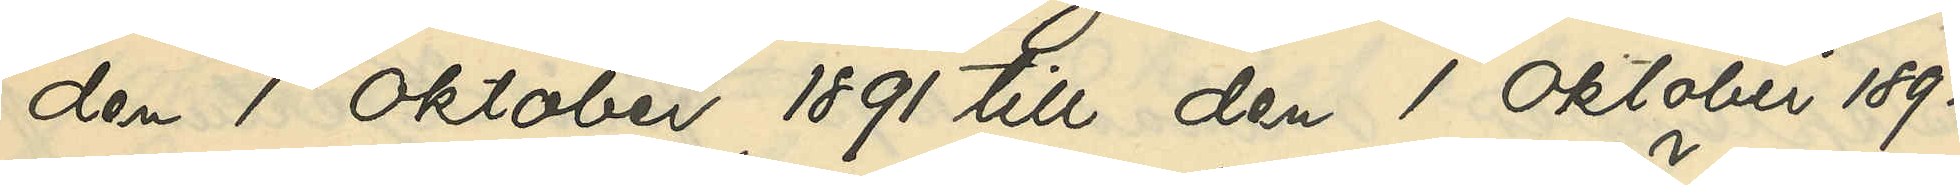den 1 Oktober 1891 till den 1 Oktober 1892
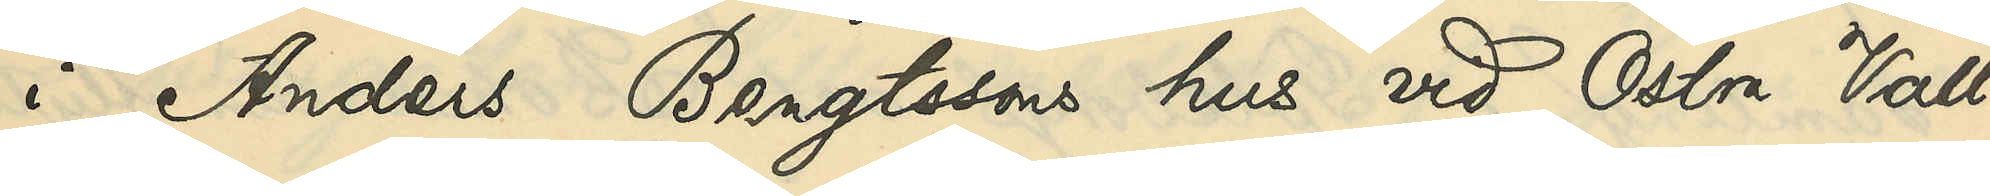i Anders Bengtssons hus vid Östra Vall¬
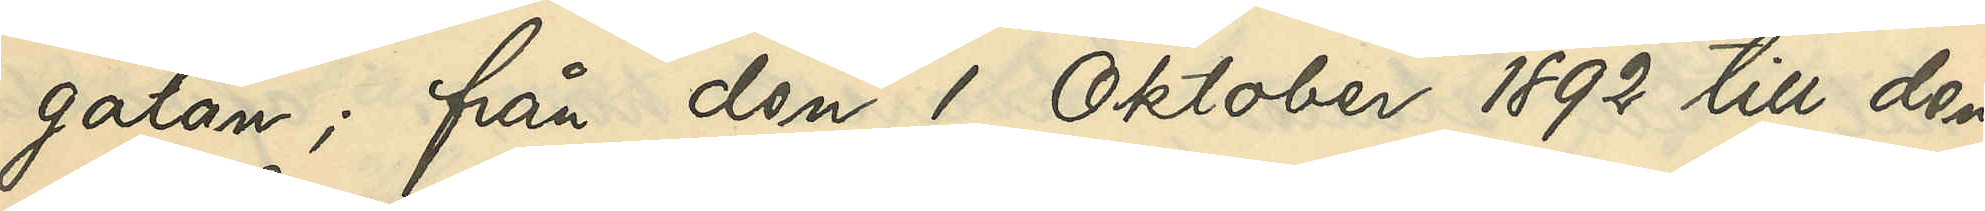gatan; från den 1 Oktober 1892 till den
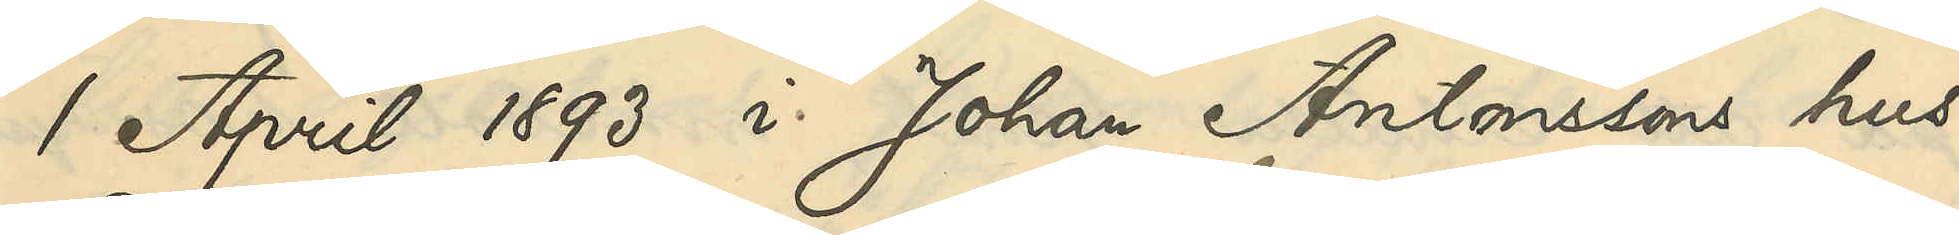1 April 1893 i Johan Antonssons hus
